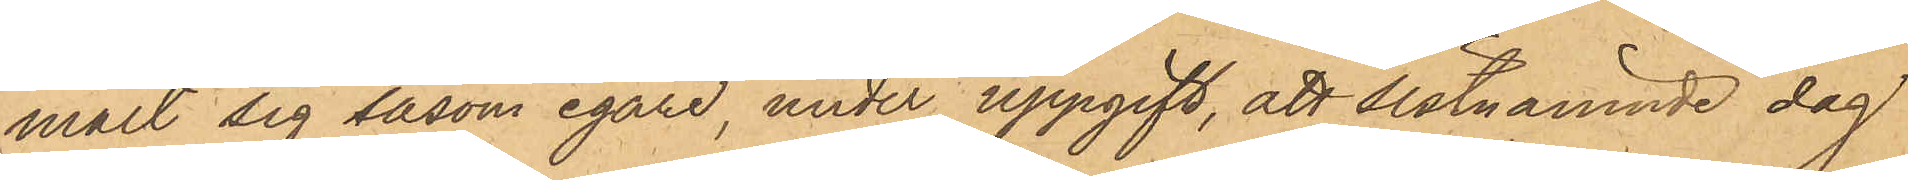mält sig såsom egare, under uppgift, att sistnämnde dag
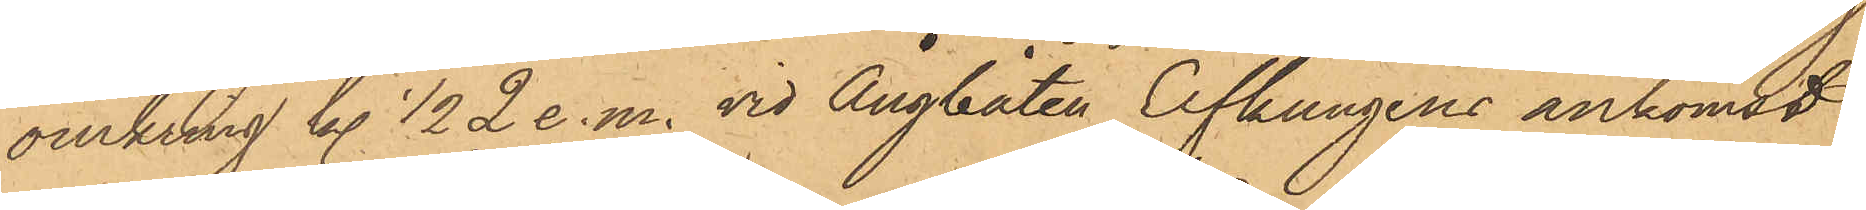omkring kl. 1/2 2 e. m. vid Ångbåten Elfkungens ankomst
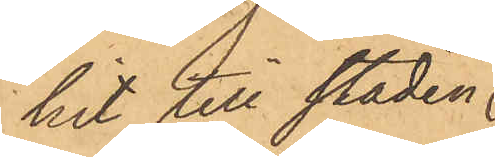hit till staden
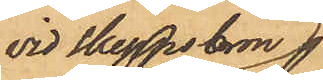vid Skeppsbron
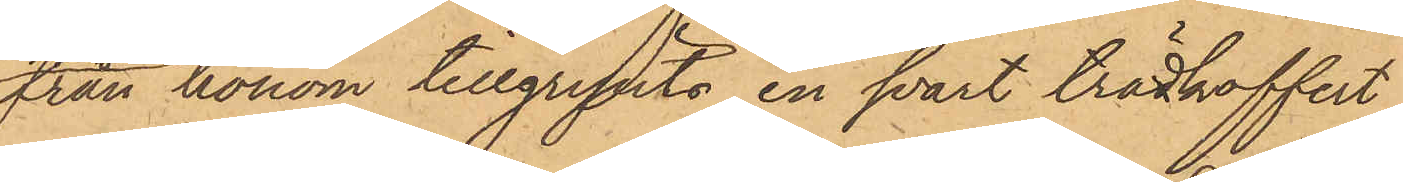från honom tillgripits en svart trädkoffert,
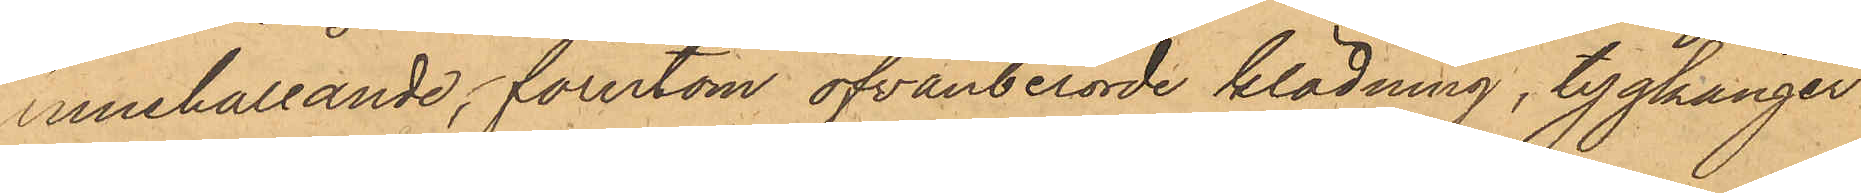innehållande, förutom ofvanberörde klädning, tygkänger
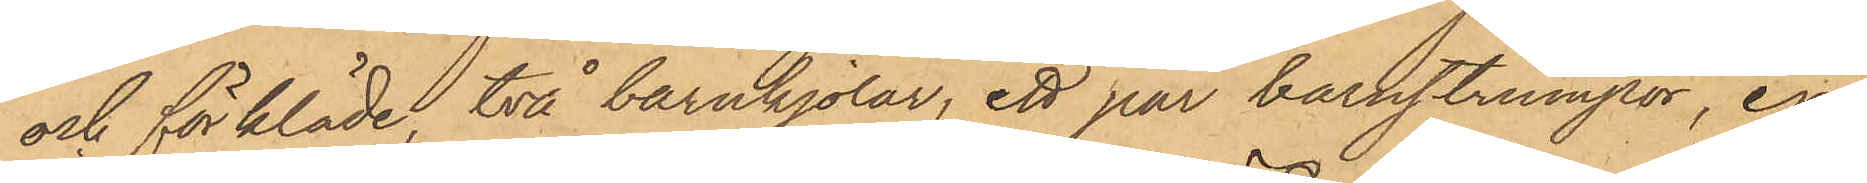och förkläde, två barnkjolar, ett par barnstrumpor, en
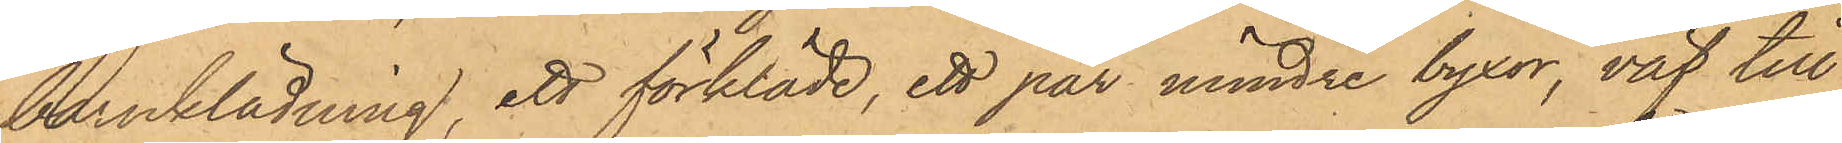barnklädning, ett förkläde, ett par mindre byxor, väf till
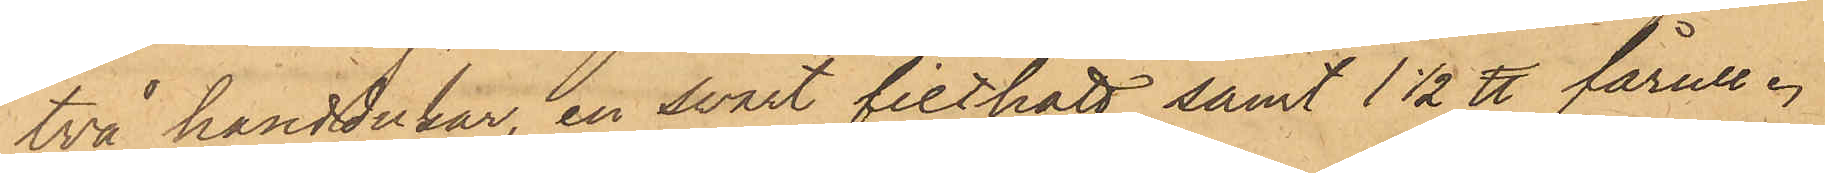två handdukar, en svart filthatt samt 1 1/2 ℔ fårull.
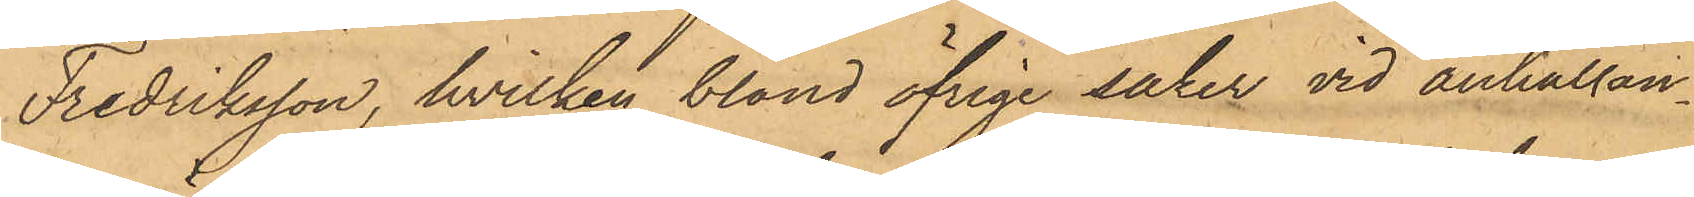Fredriksson, hvilken bland öfriga saker vid anhållan¬
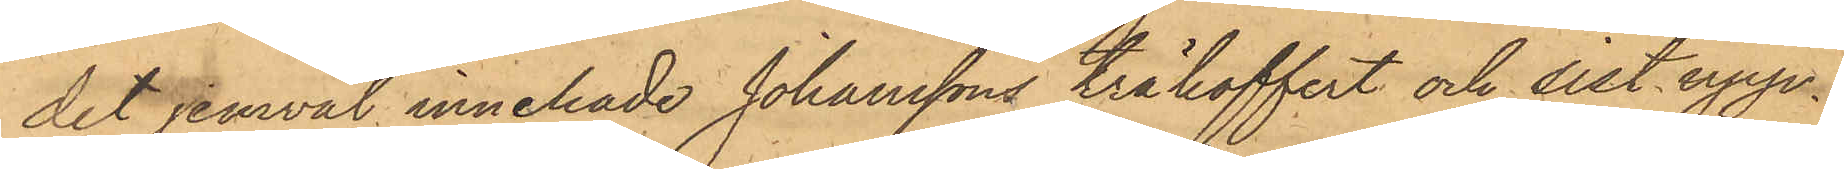det jemväl innehade Johanssons träkoffert och sist uppe¬
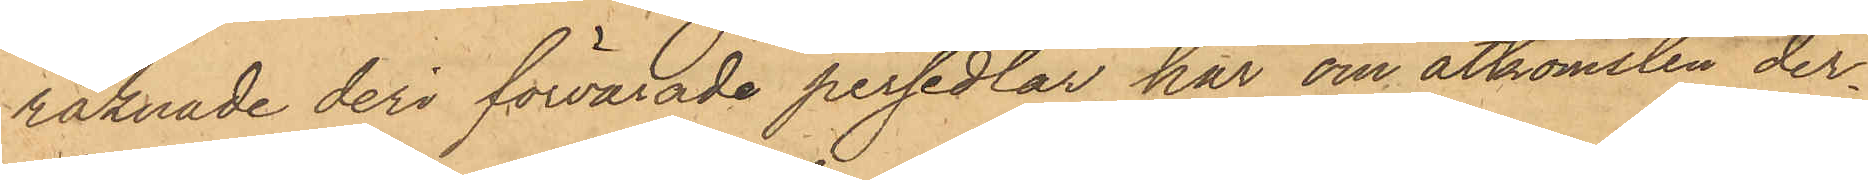räknade deri förvarade persedlar, har om åtkomsten der¬
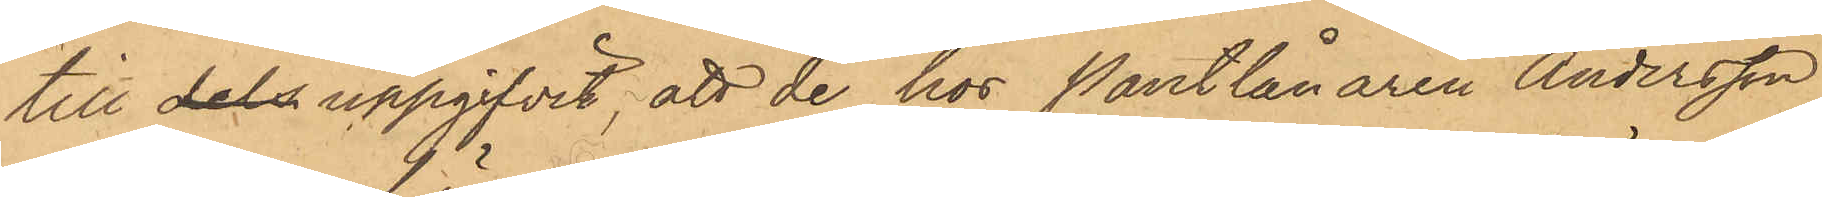till dels uppgifvit, att de hos Pantlånaren Andersson
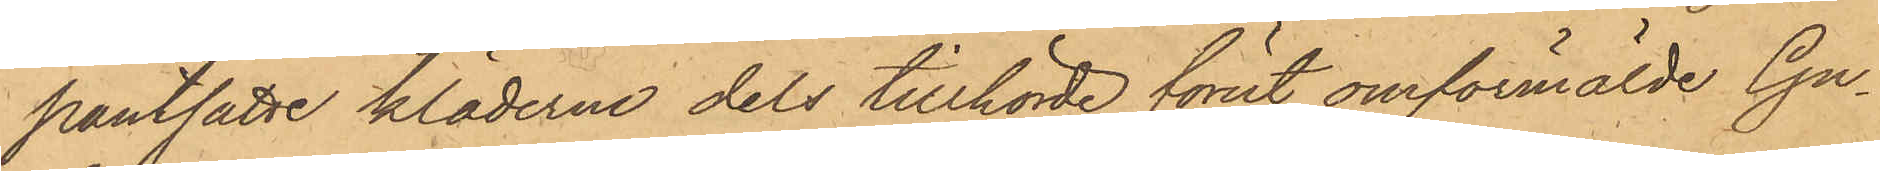pantsatte kläderna dels tillhörde förut omförmälde Gu¬
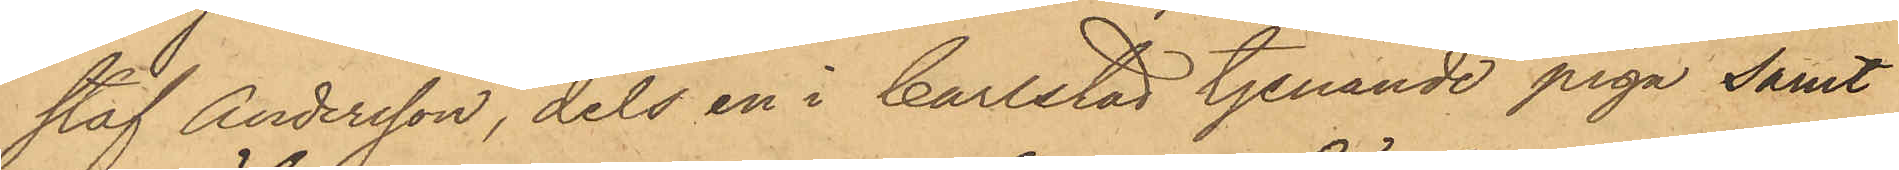staf Andersson, dels en i Carlstad tjenande piga samt
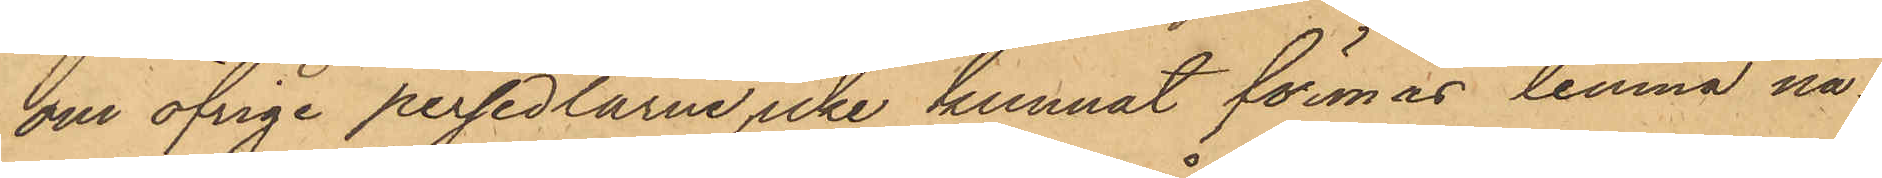om öfrige persedlarne icke kunnat förmås lemna nå¬
